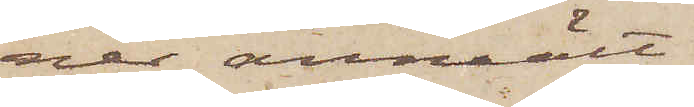ner anmält.
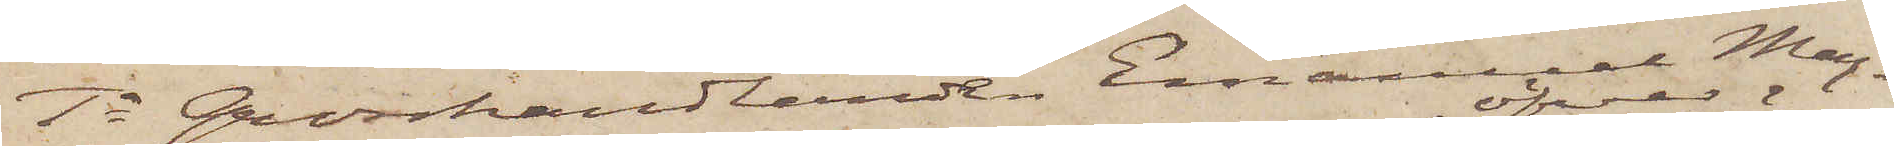1o Grosshandlanden Emanuel Mag¬
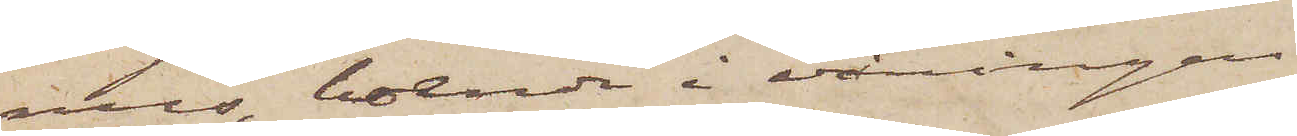us, boende i våningen
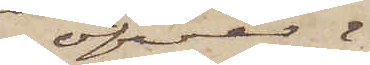öfver
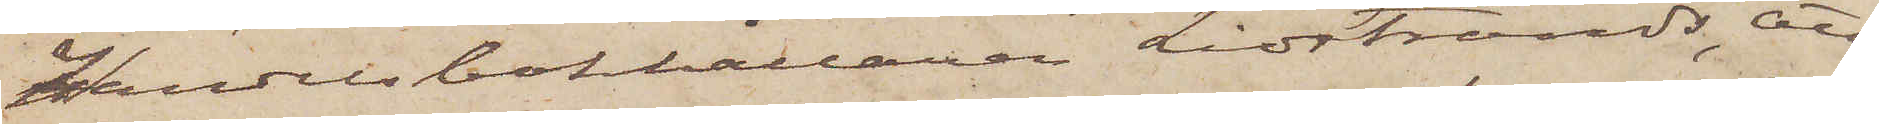handelsbokhållaren Lidstrands, att
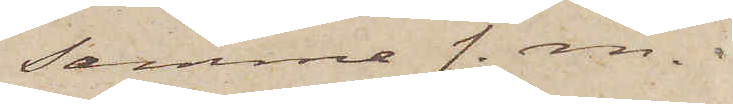samma f. m.
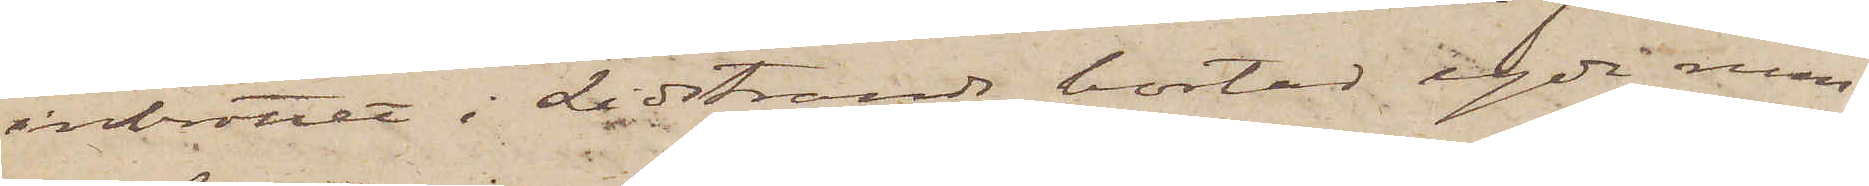inbrottet i Lidstrands bostad egde rum,
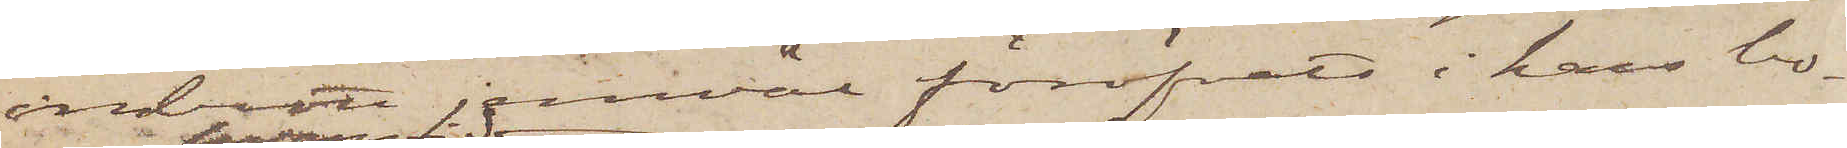inbrott jemväl föröfvats i hans bo¬
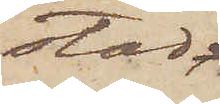stad,
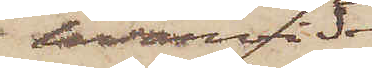 hvarvid
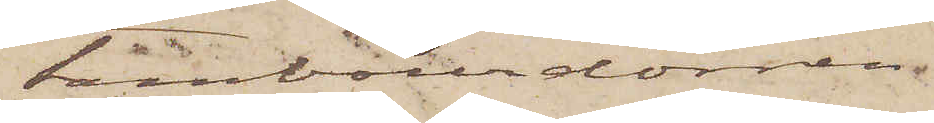tambourdörren
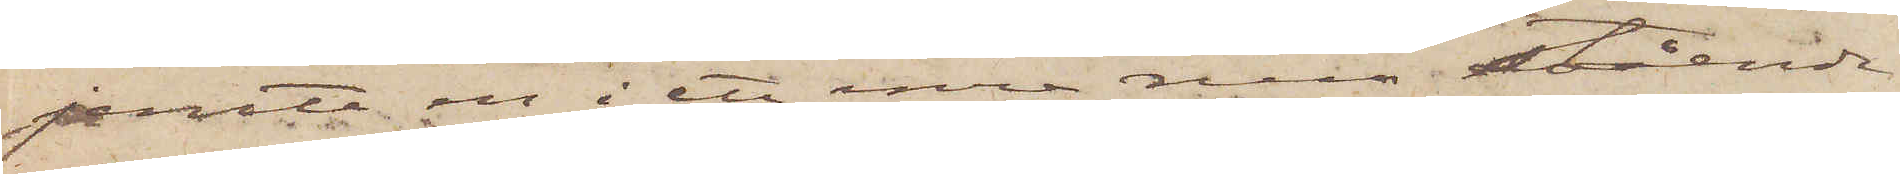jemte en i ett inre rum stående
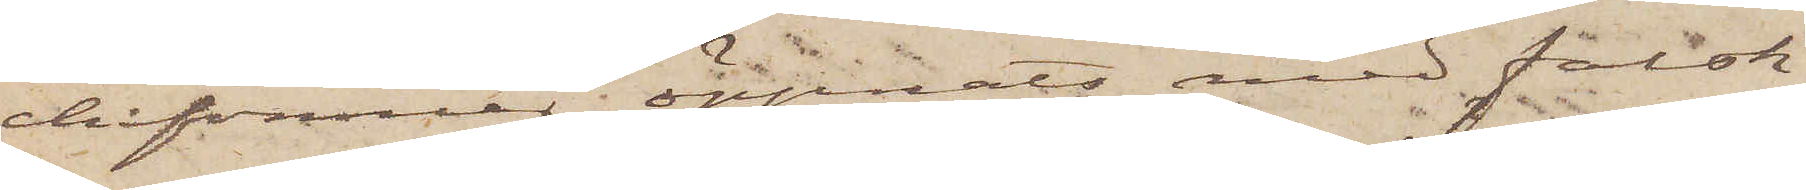chifonnier öppnats med falsk
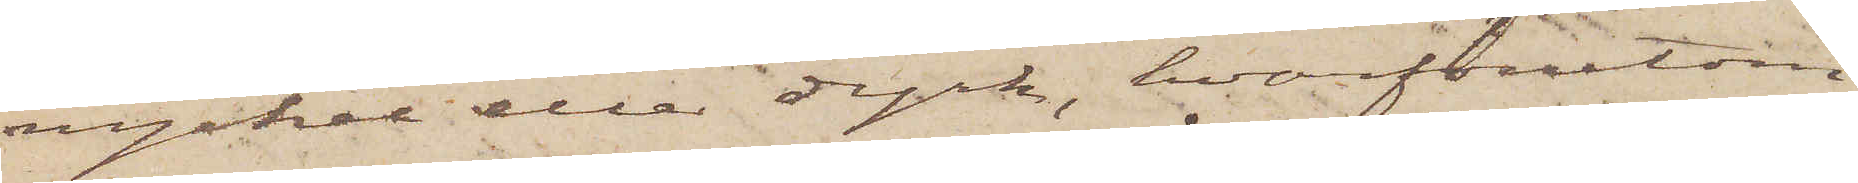nyckel eller dyrk, hvarförutom
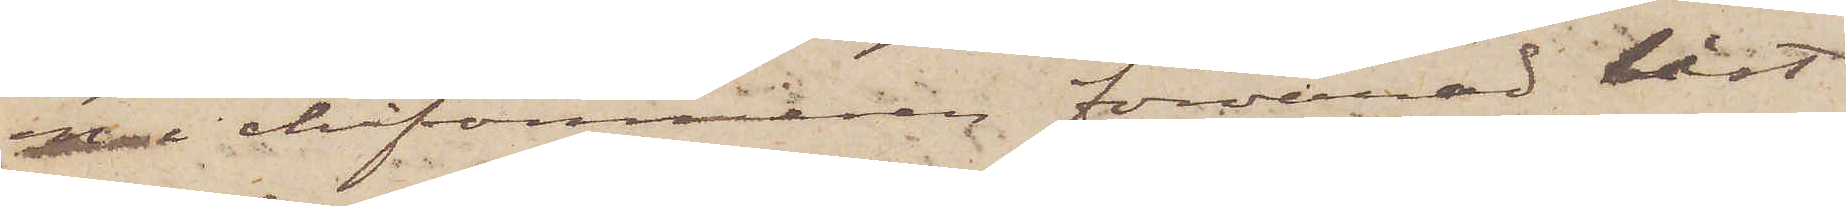en i chifonnieren förvarad låst
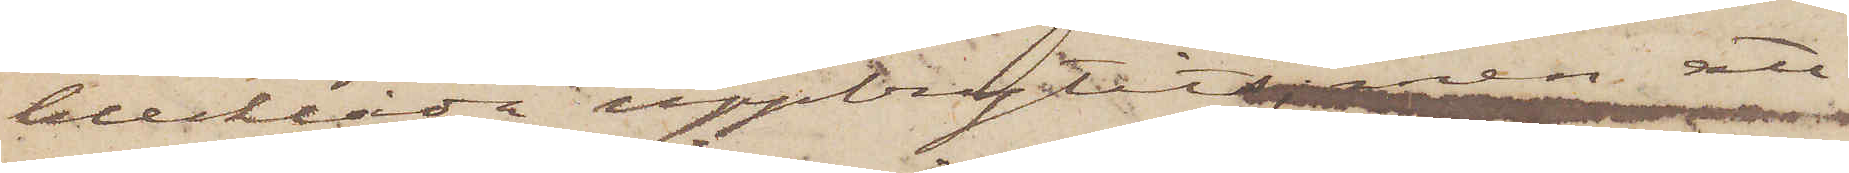blecklåda uppbrytits, men att
